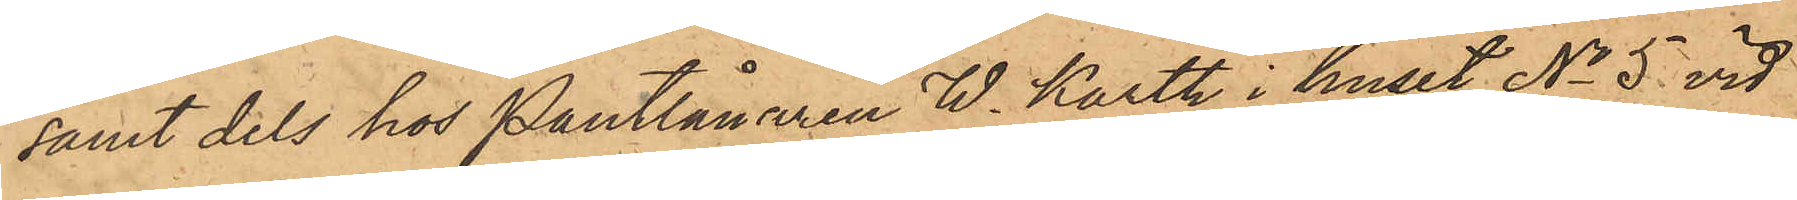samt dels hos Pantlånaren W. Karth i huset No 5 vid
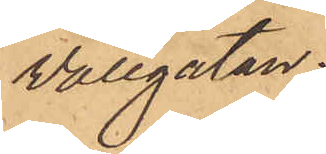Vallgatan.
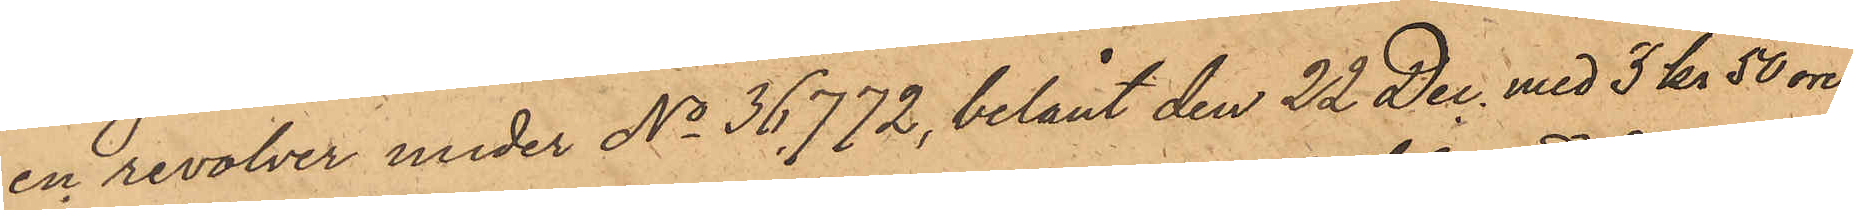en revolver under No 36,772, belånt den 22 Dec. med 3 kr 50 öre
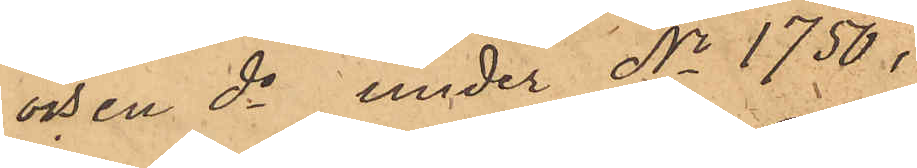och en do under No 1750,
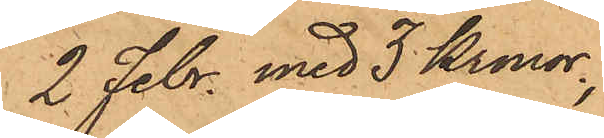2 Febr. med 3 Kronor,
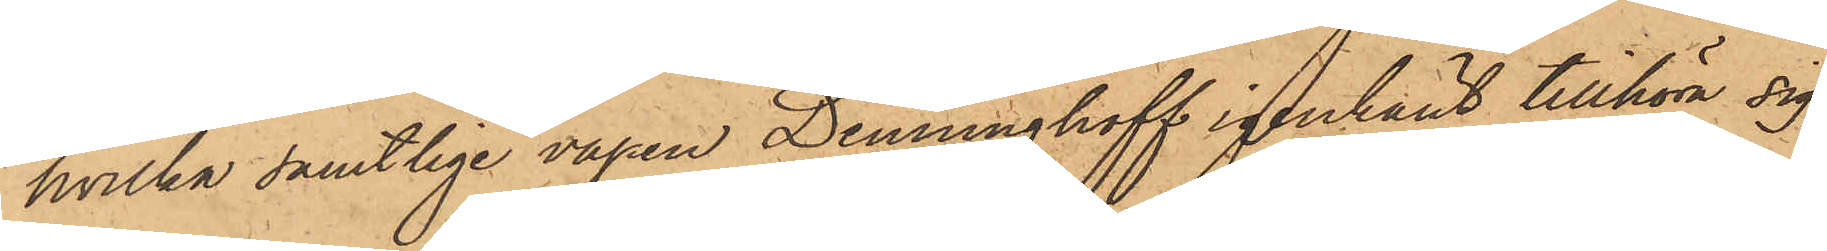hvilka samtlige vapen Denninghoff igenkänt tillhöra sig,
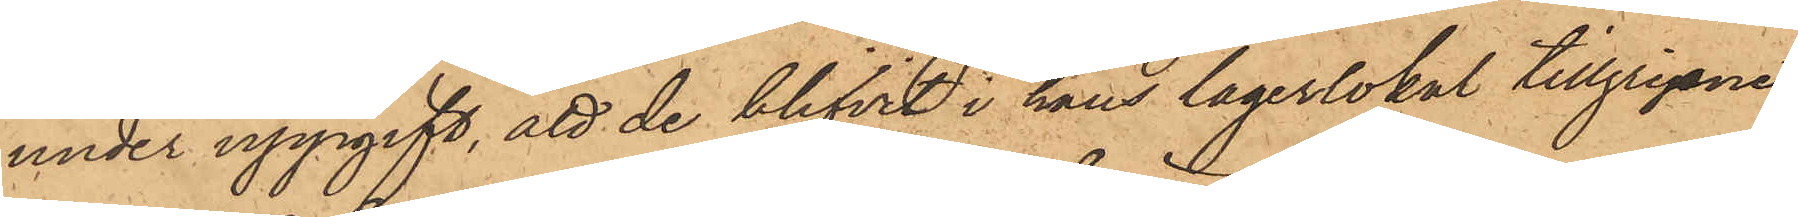under uppgift, att de blifvit i hans lagerlokal tillgripne,
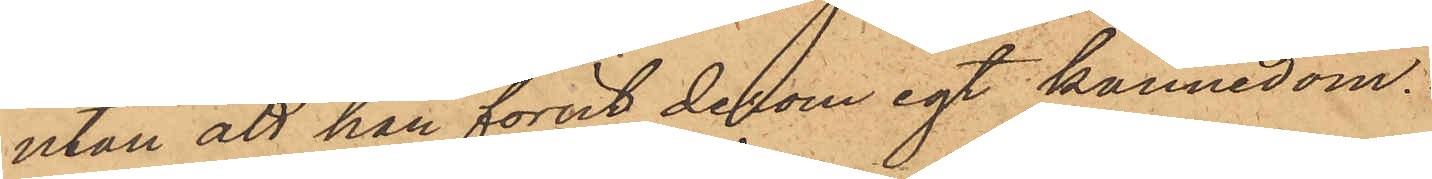utan att han förut derom egt kännedom.
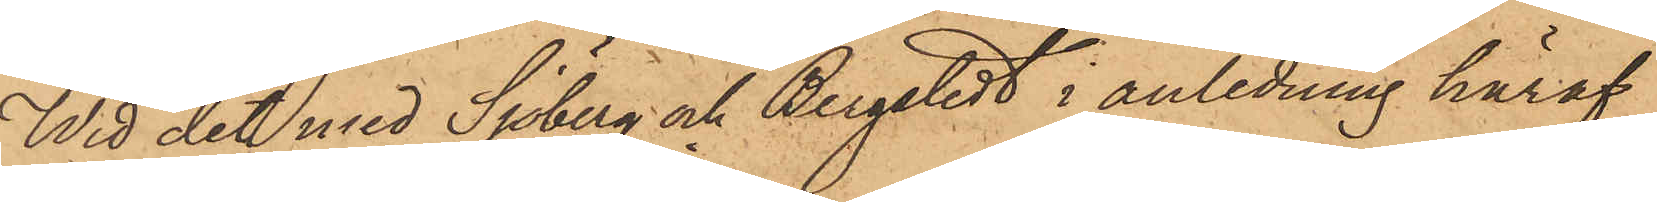Wid det med Sjöberg och Bergstedt i anledning häraf
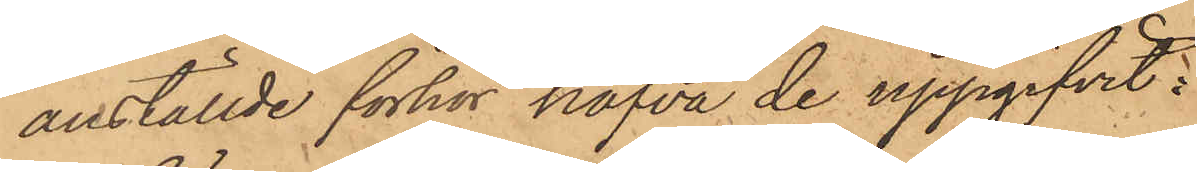anställde förhör hafva de uppgifvit:
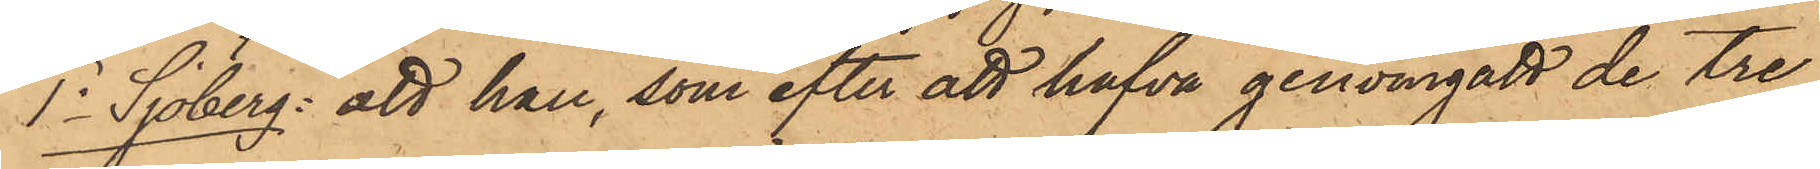1o Sjöberg: att han, som efter att hafva genomgått de tre
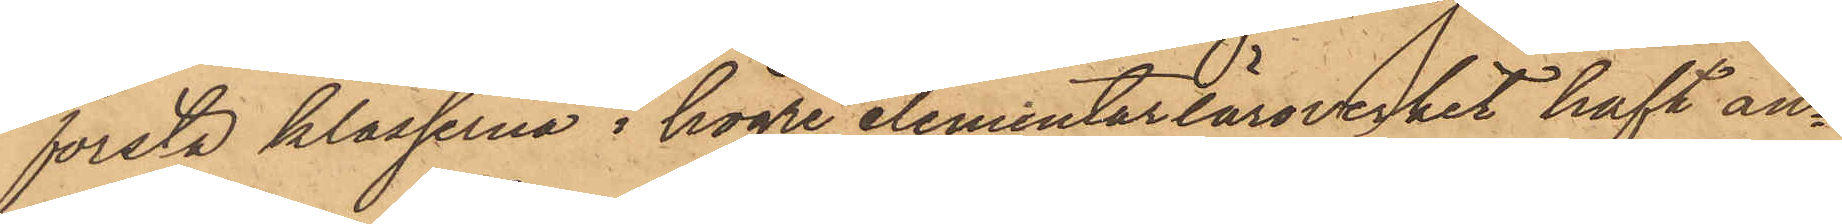första klasserna i högre elementarläroverket haft an¬
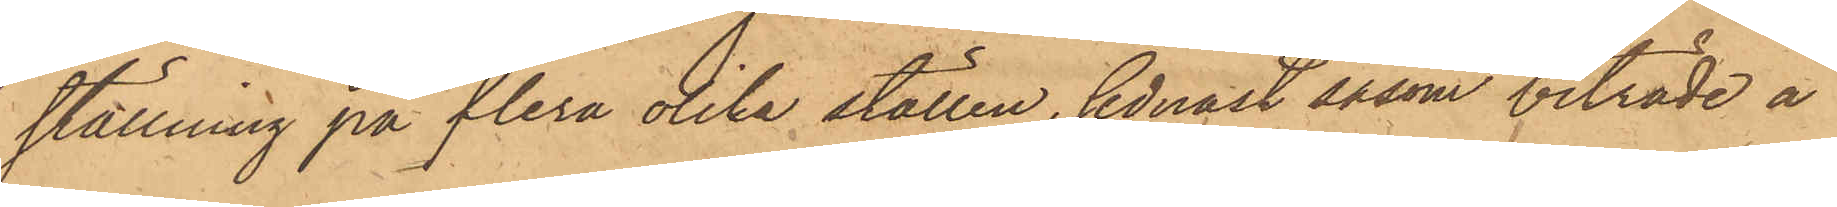ställning på flera olika ställen, sednast såsom biträde å
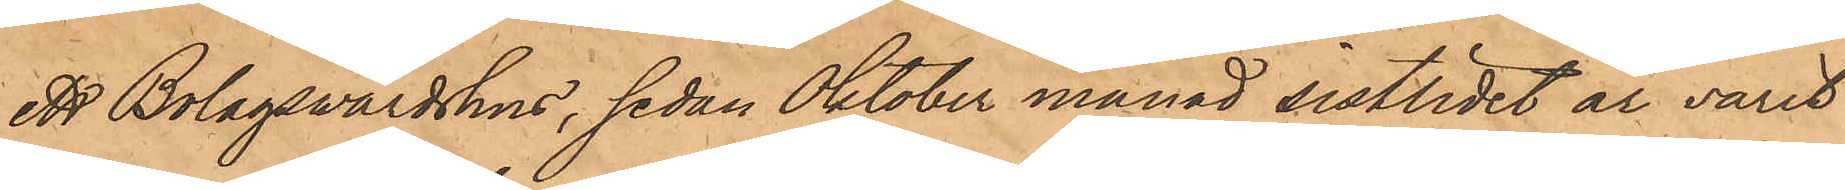ett Bolagsvärdshus, sedan Oktober månad sistlidet år varit
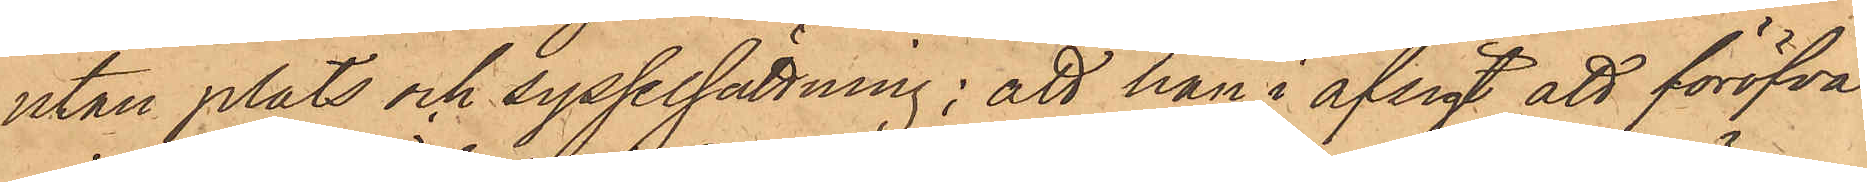utan plats och sysselsättning; att han i afsigt att föröfva
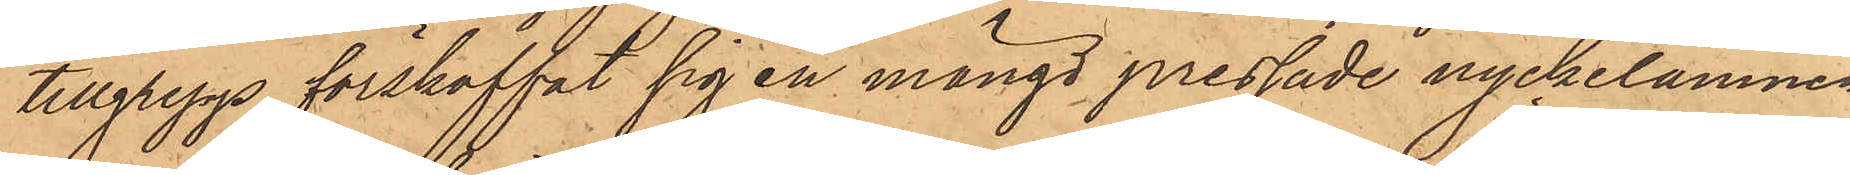tillgrepp, förskaffat sig en mängd pressade nyckelämnen
